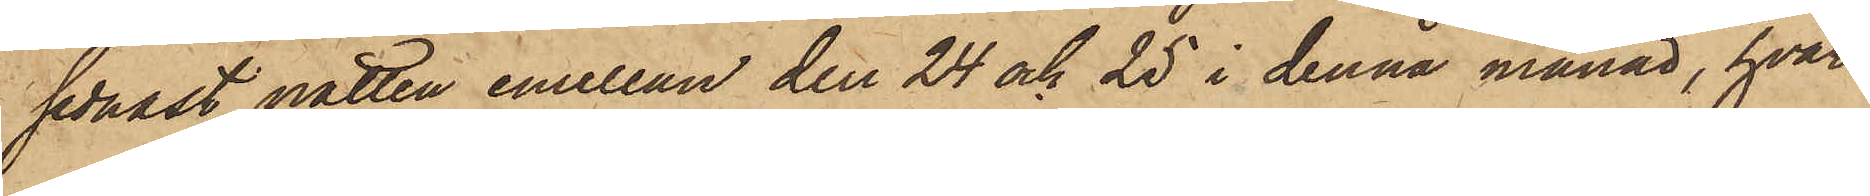sednast natten emellan den 24 och 25 i denna månad, hvar¬
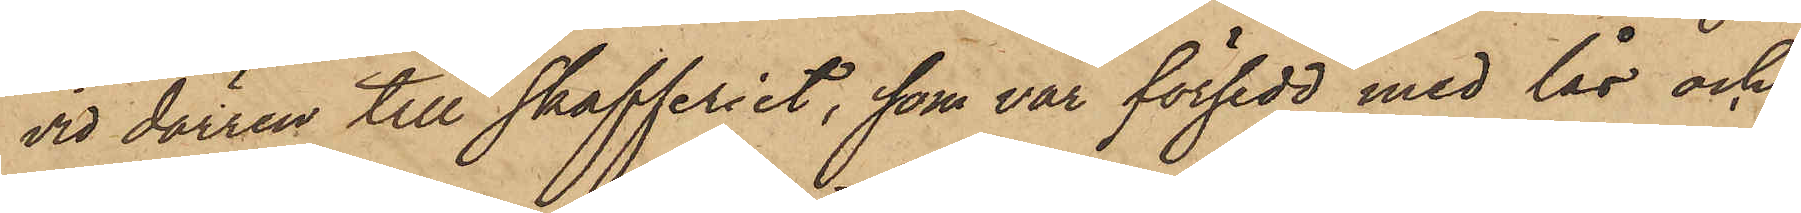vid dörren till skafferiet, som var försedd med lås och
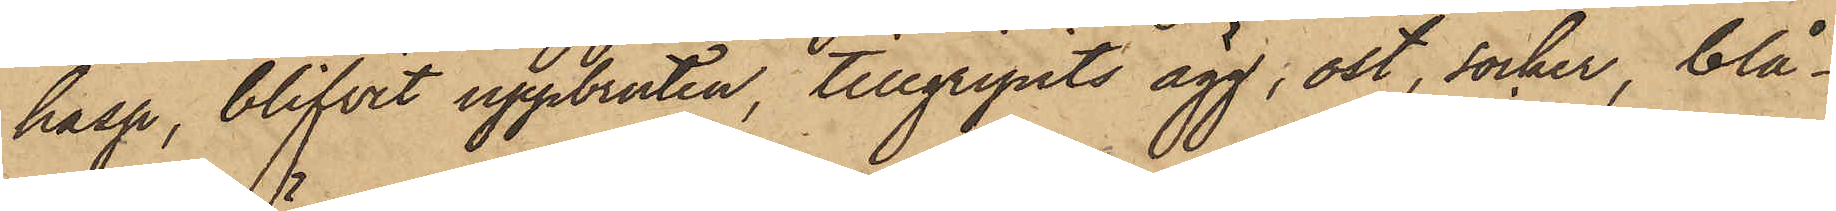hasp, blifvit uppbruten, tillgripits ägg, ost, socker, blå¬
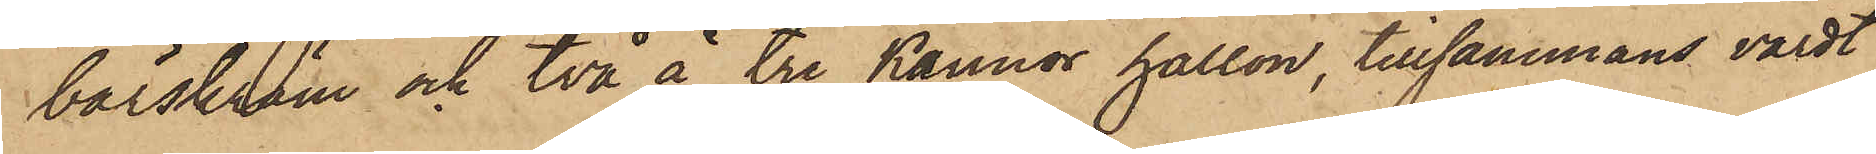bärskräm och två å tre kannor hallon, tillsammans värdt
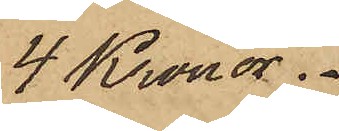4 Kronor.
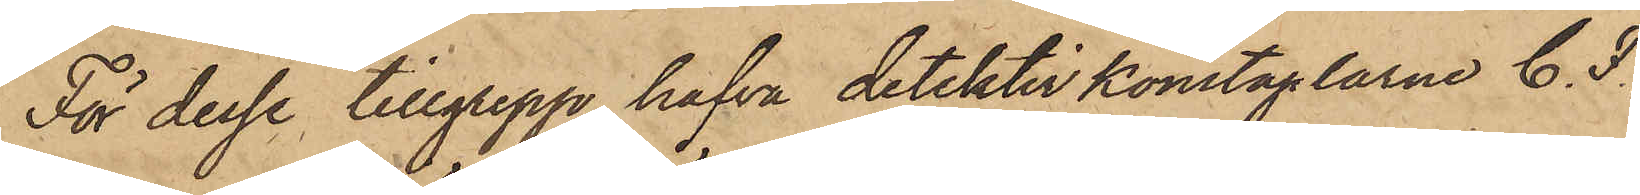För desse tillgrepp hafva detektivkonstaplarne C. F.
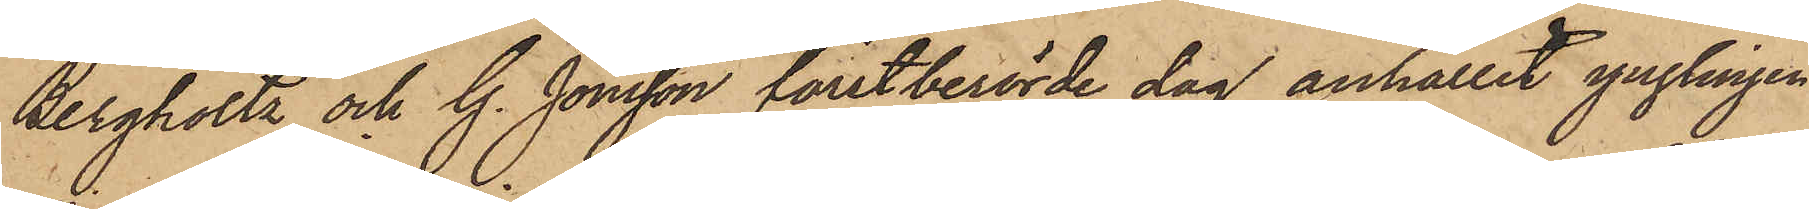Bergholtz och G. Jönsson förstberörde dag anhållit ynglingen
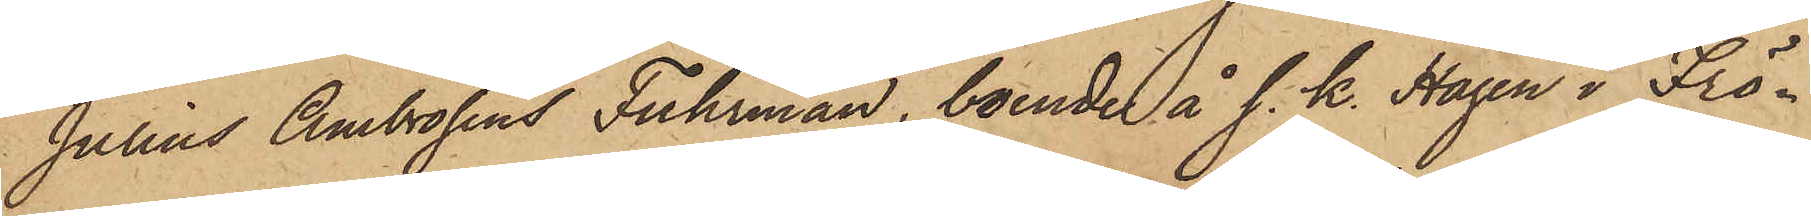Julius Ambrosius Fuhrman, boende å s. k. Hagen i Frö¬
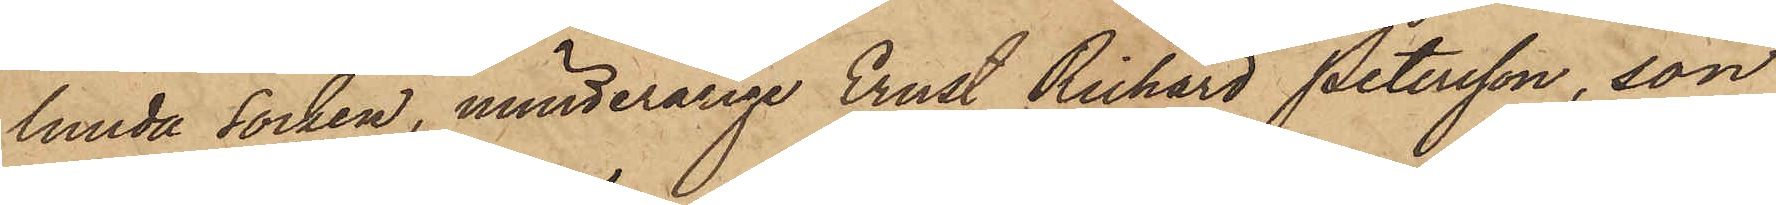lunda Socken, minderårige Ernst Richard Petersson, son
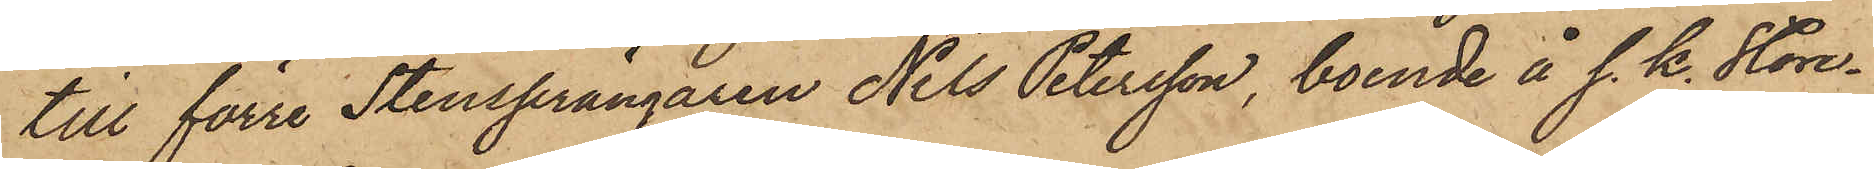till förre Stensprängaren Nils Petersson, boende å s. k. Store¬
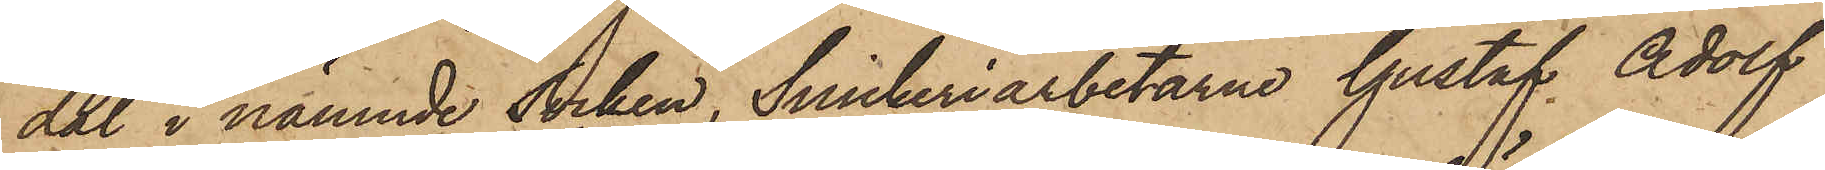dal i nämnde Socken, Snickeriarbetarne Gustaf Adolf
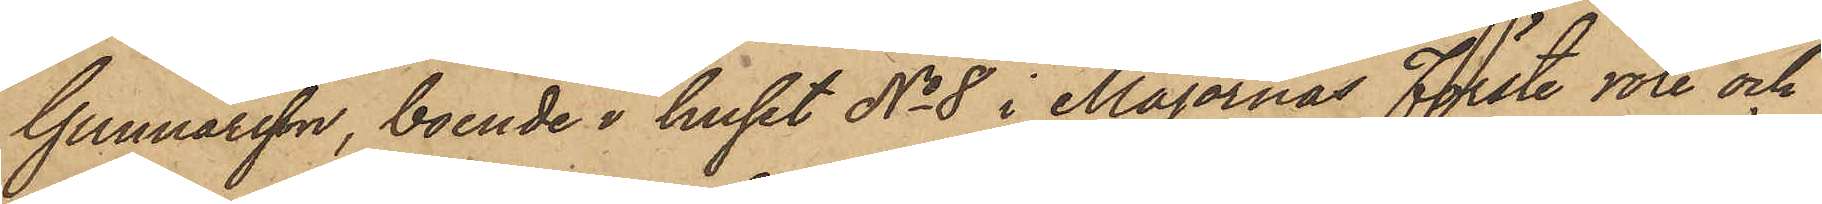Gunnarsson, boende i huset No 8 i Majornas Förste rote och
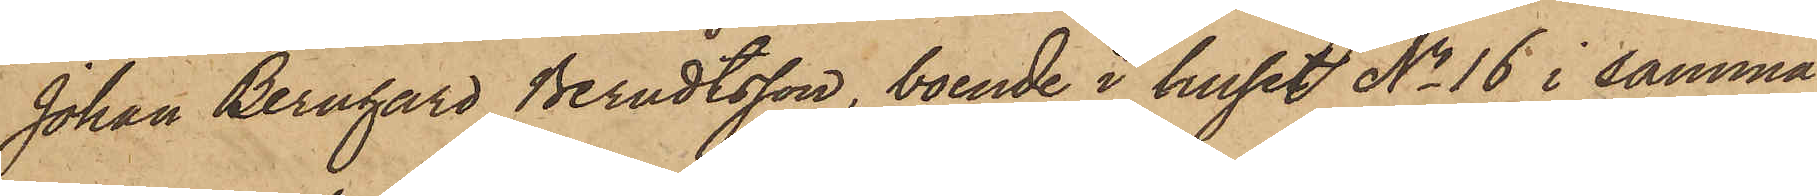Johan Bernhard Berndtsson, boende i huset No 16 i samma
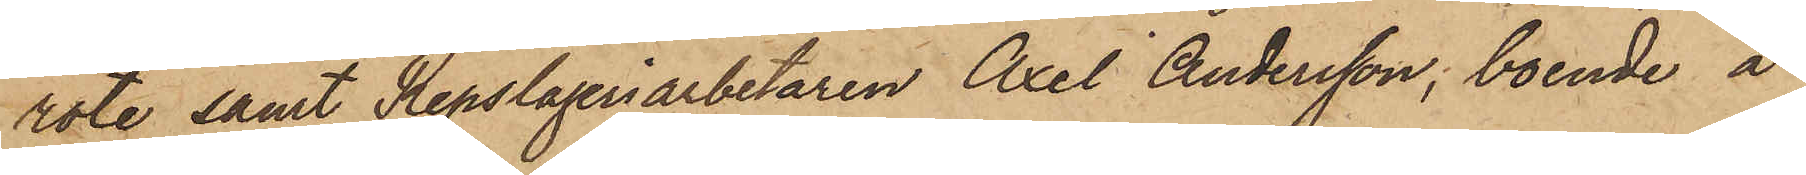rote samt Repslageriarbetaren Axel Andersson, boende å
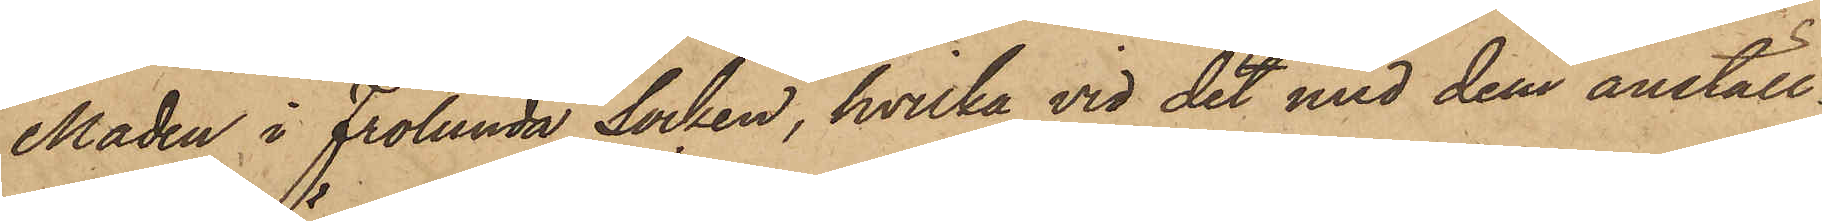Maden i Frölunda Socken, hvilka vid det med dem anställ¬
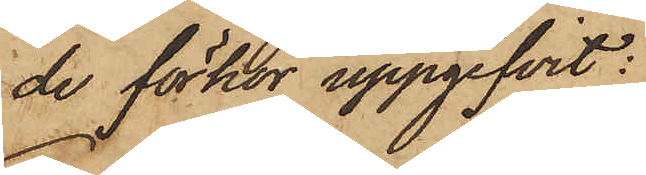de förhör uppgifvit:
